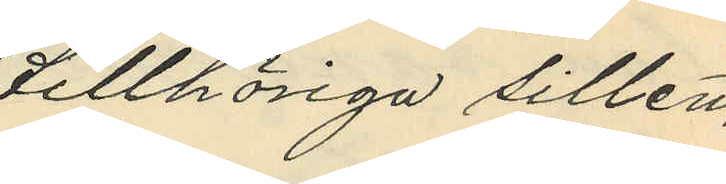tillhöriga sillen,
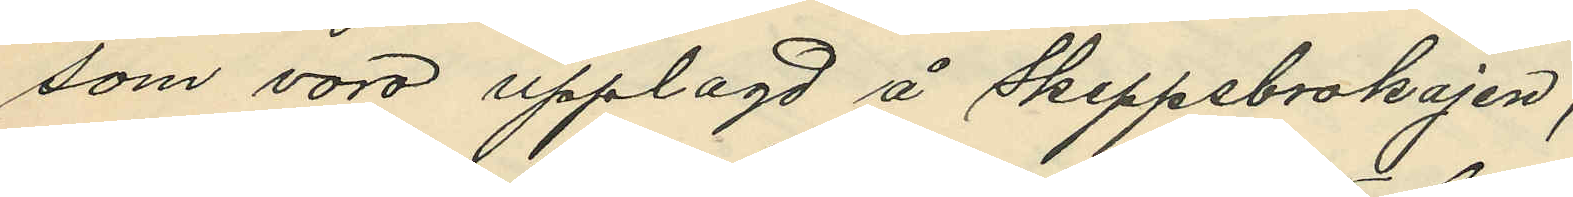som voro upplagd å Skeppsbrokajen;
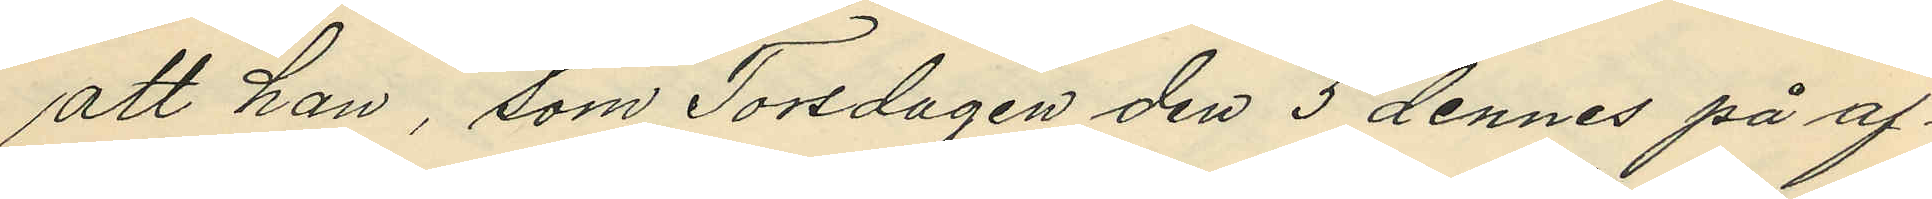att han, som Torsdagen den 5 dennes på af¬
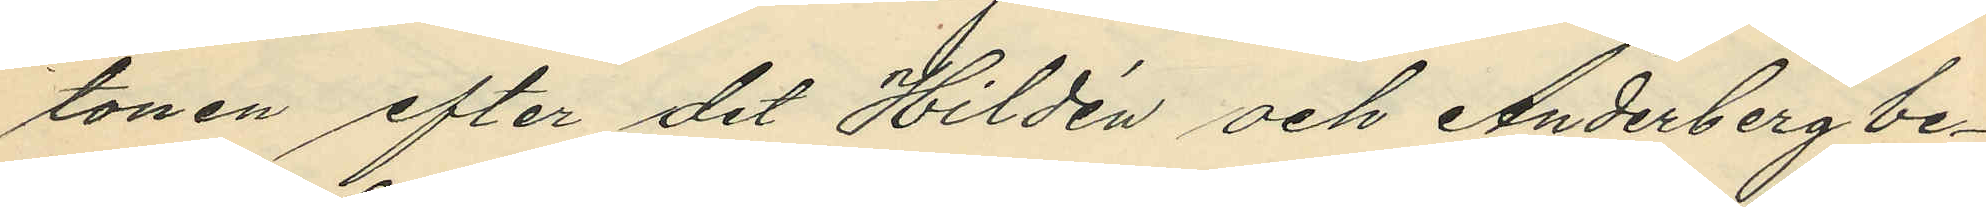tonen efter det Hildén och Anderberg be¬
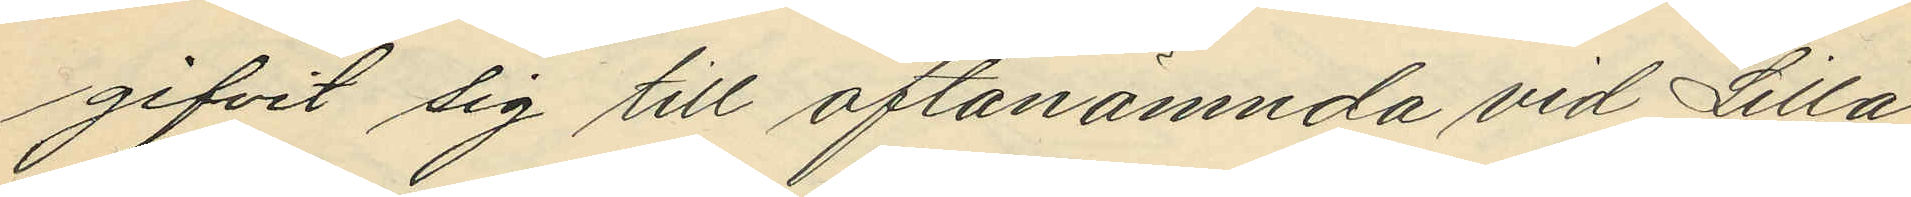gifvit sig till oftanämnda vid Lilla
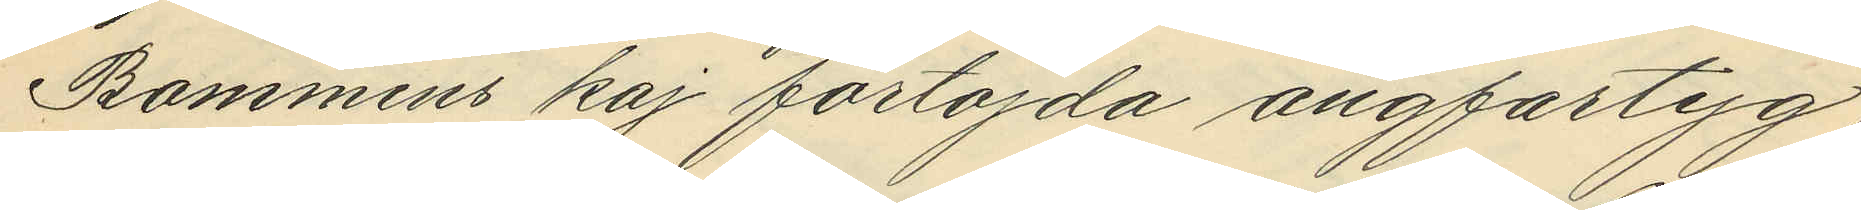Bommens kaj förtöjda ångfartyg,
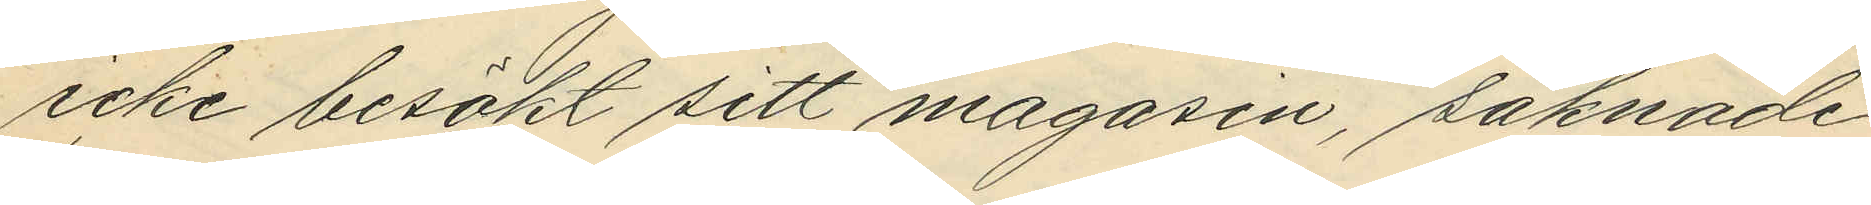icke besökt sitt magasin, saknade
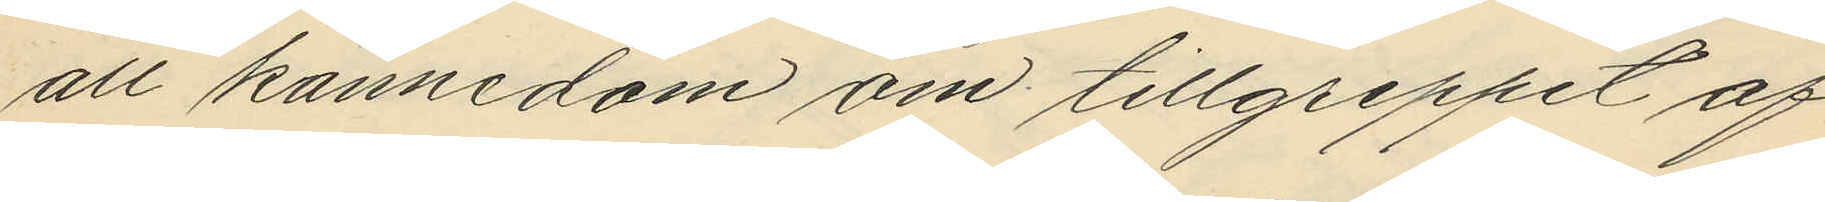all kännedom om tillgreppet af
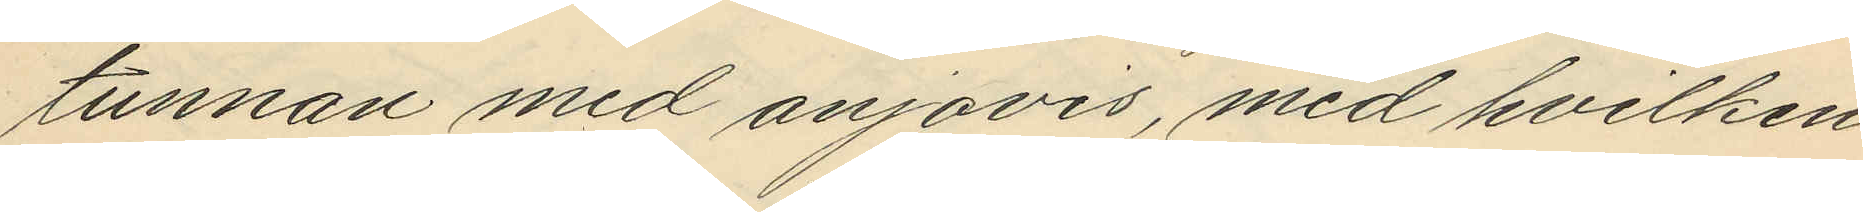tunnan med anjovis, med hvilken
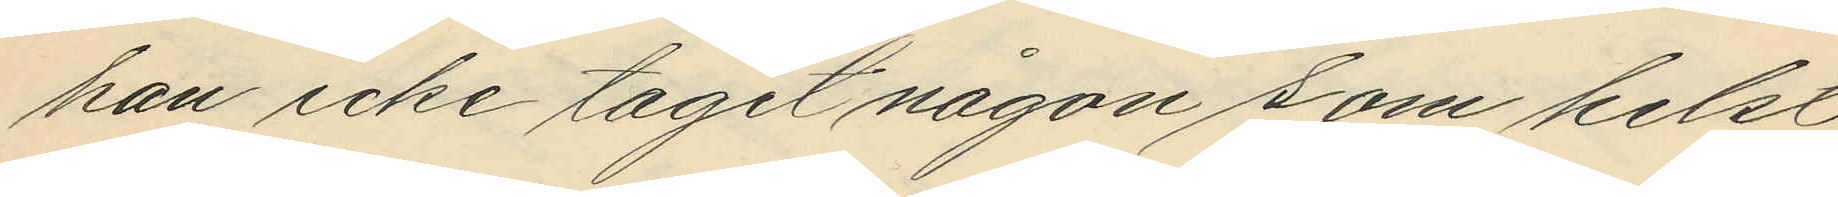han icke tagit någon som helst
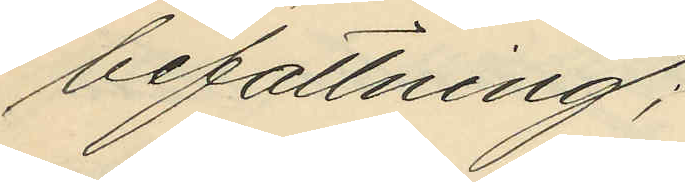befattning;
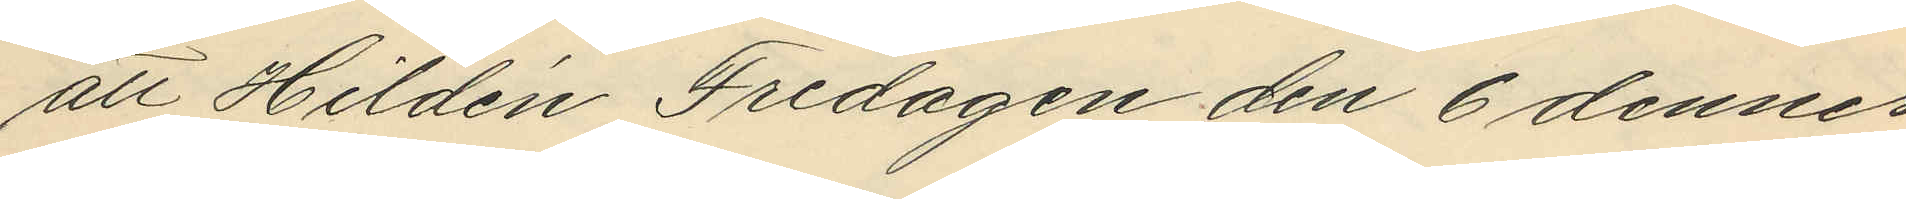att Hildén Fredagen den 6 dennes
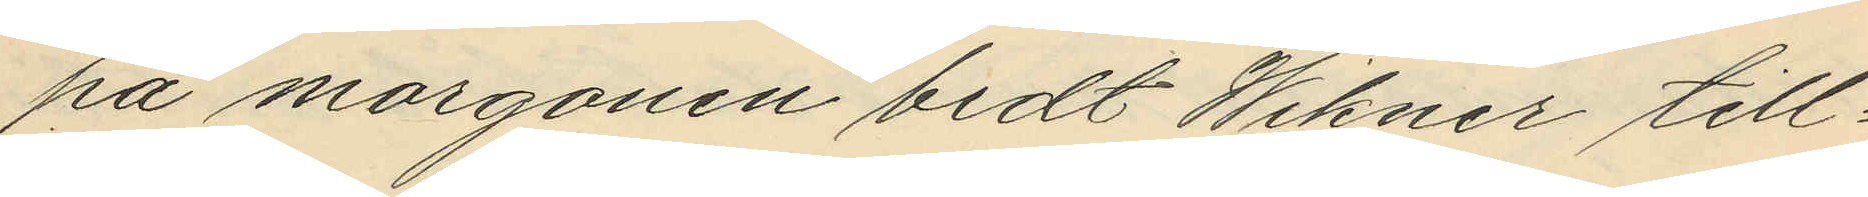på morgonen bedt Wikner till¬
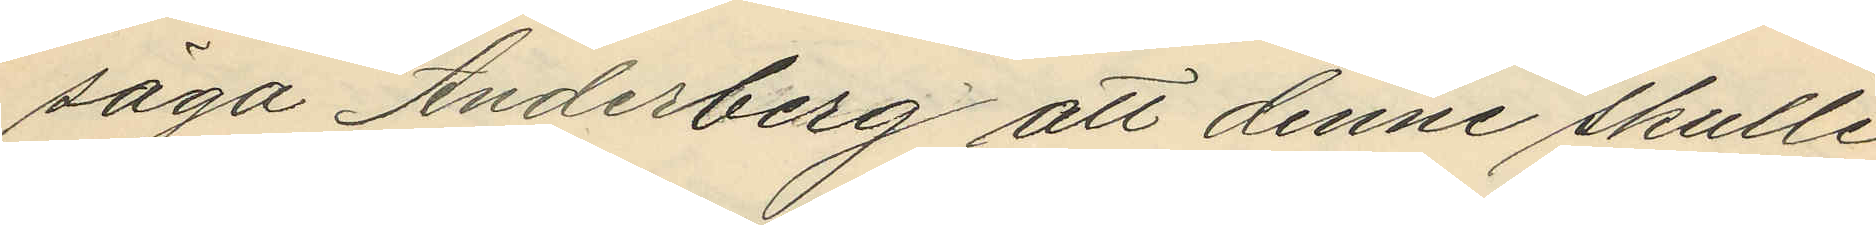säga Anderberg att denne skulle
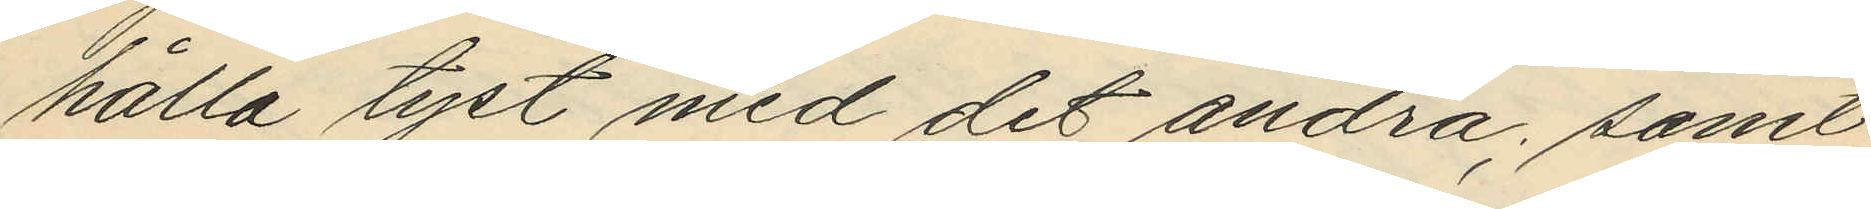hålla tyst med det andra; samt
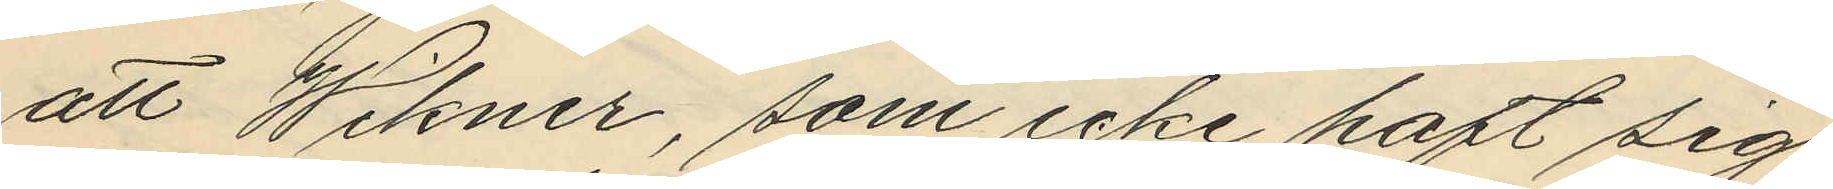att Wikner, som icke haft sig
